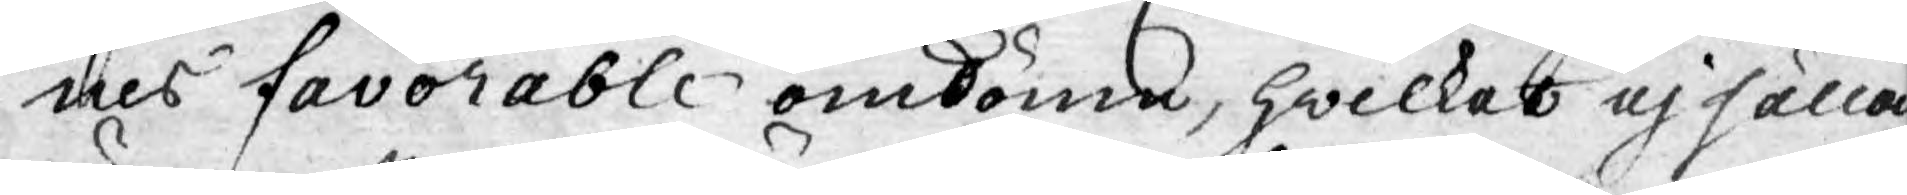nes favorable omdöme, hwilket ej sällan
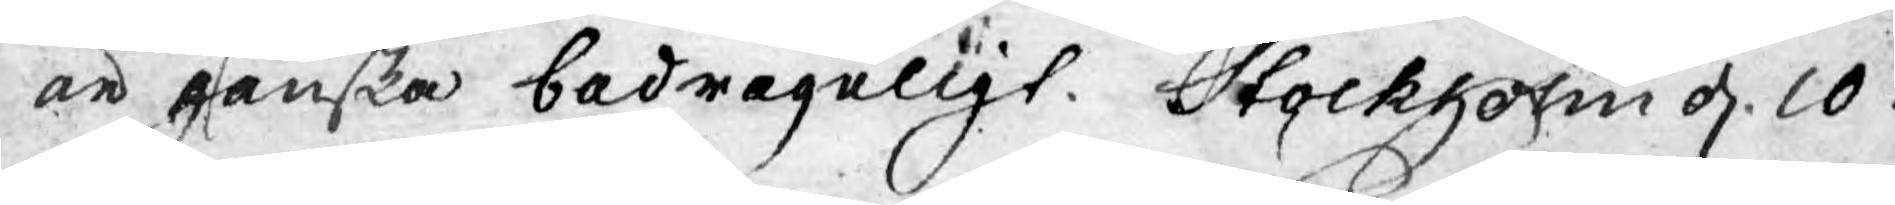är ganska bedrägeligt. Stockholm d. 10.
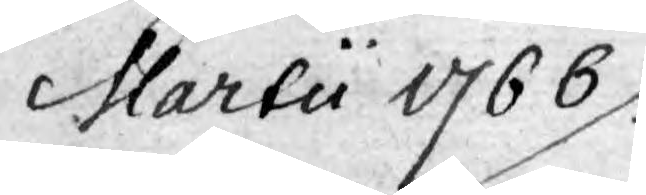Martii 1766.
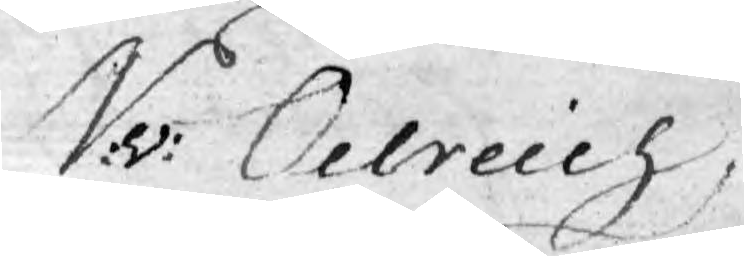N:v: Oelreich
